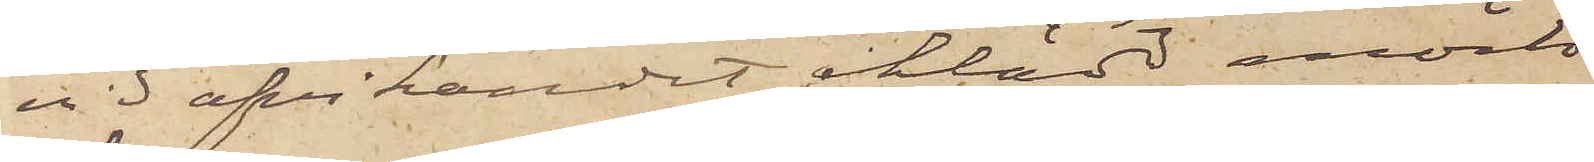vid afvikandet iklädd mörk
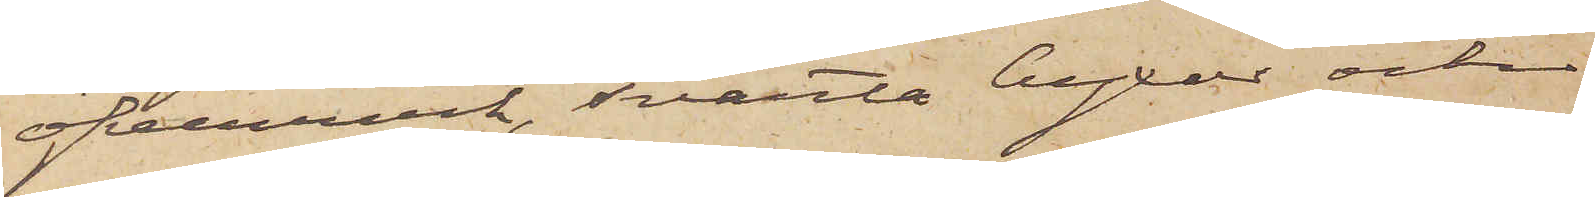öfverrock, svarta byxor och
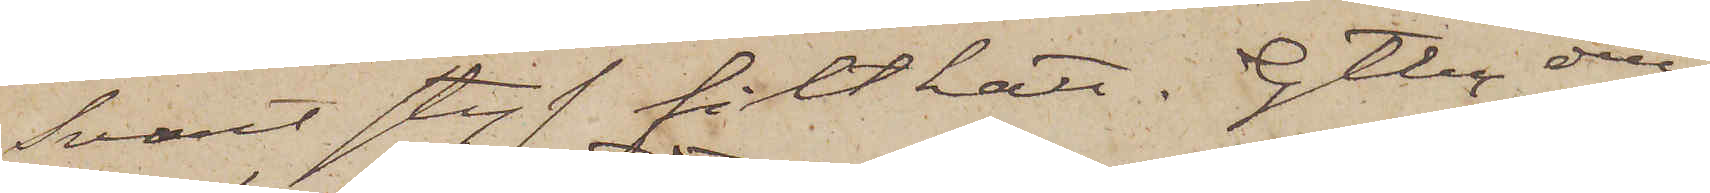svart styf filthatt. Gtbg den
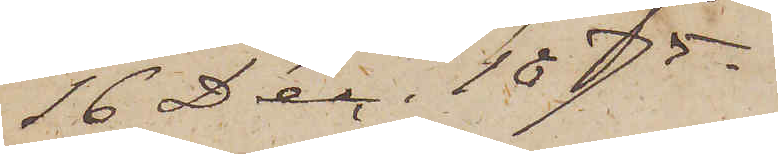16 Dec. 1875.
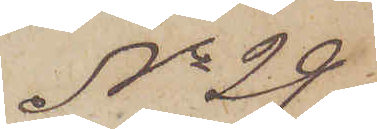No 29.
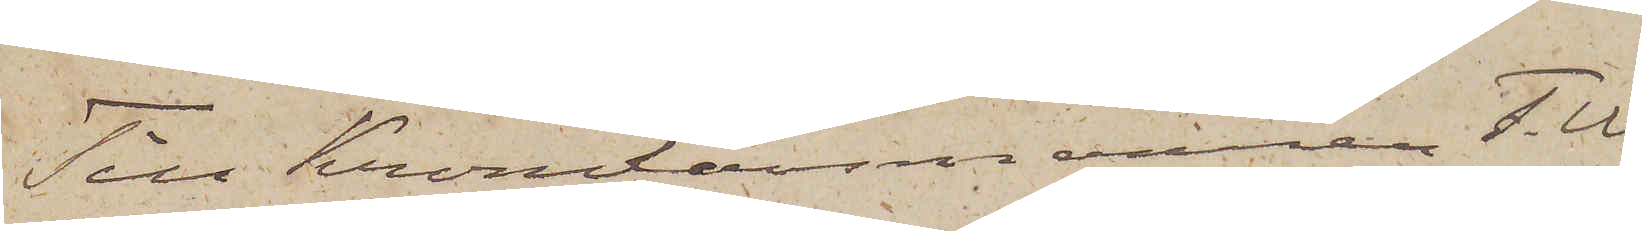Till Kronolänsmannen F. W.
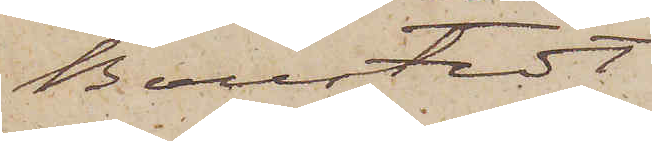Boustedt
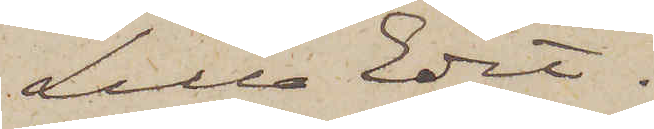Lilla Edet.
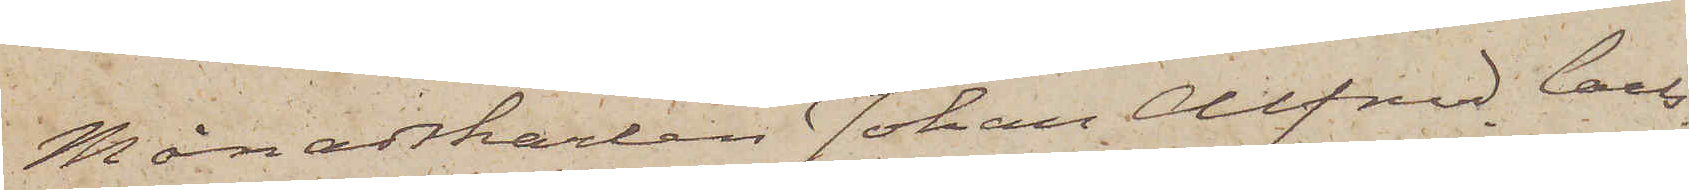Månadskarlen Johan Alfred Carls¬
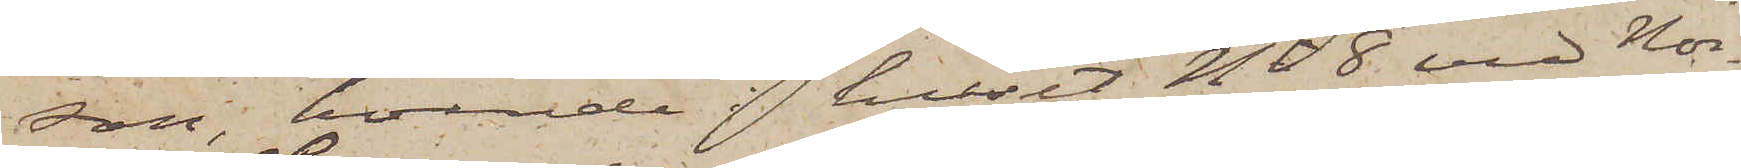son, boende i huset No 8 vid Nor¬
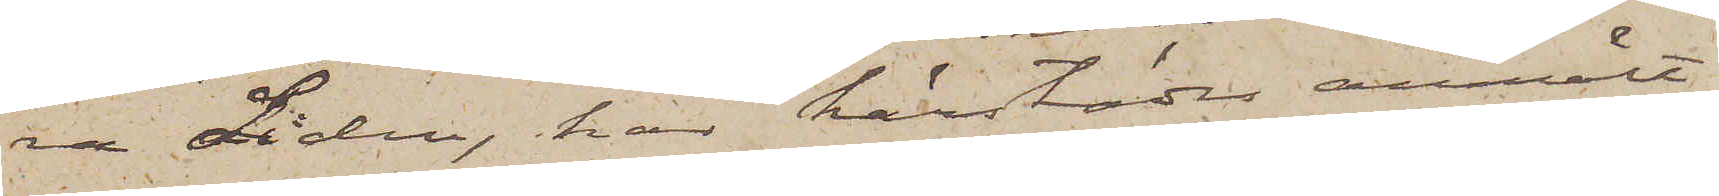ra Liden, har härstädes anmält
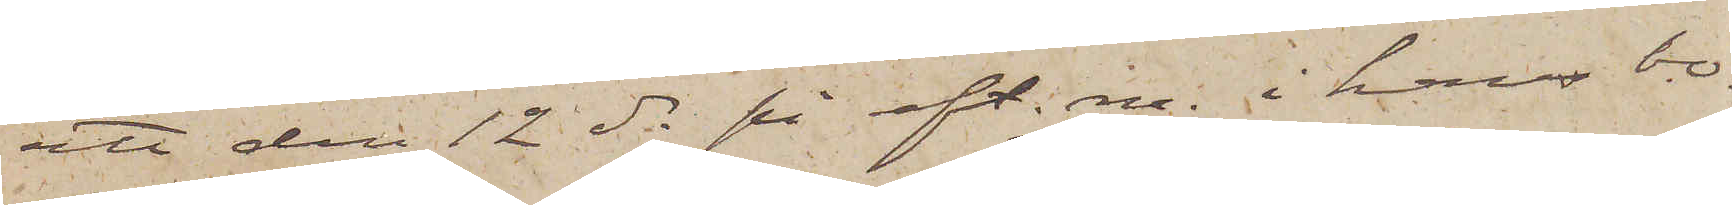att den 12 ds på eft. m. i hans bo¬
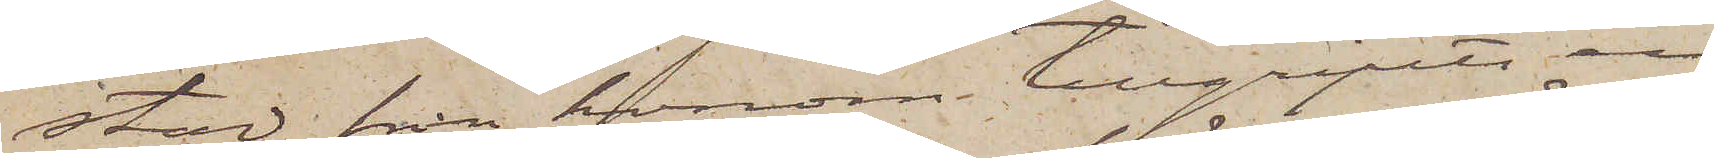stad från honom tillgripits en
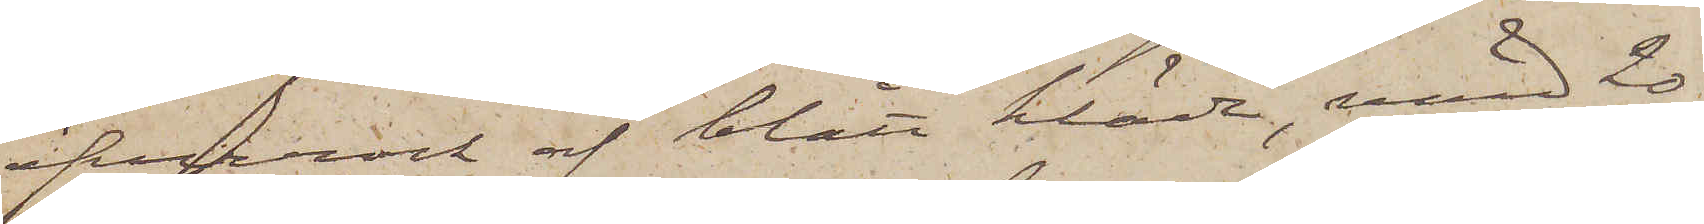öfverrock af blått kläde, värd 20
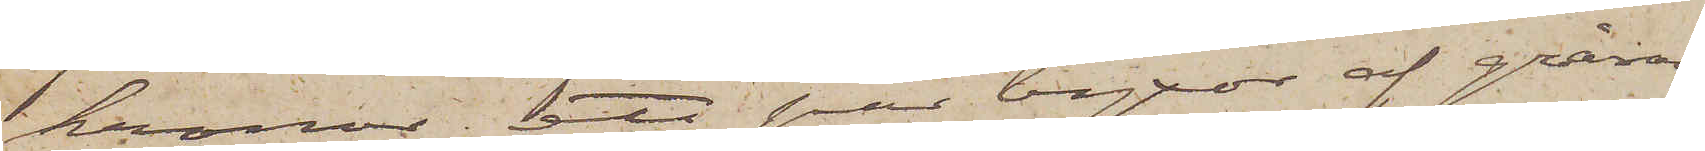kronor, ett par byxor af gråran¬
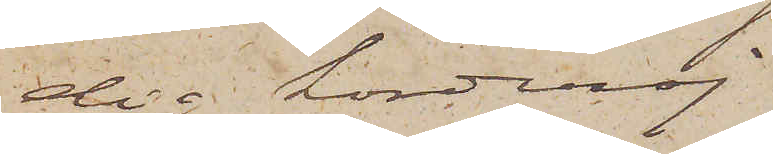dig korderoj
